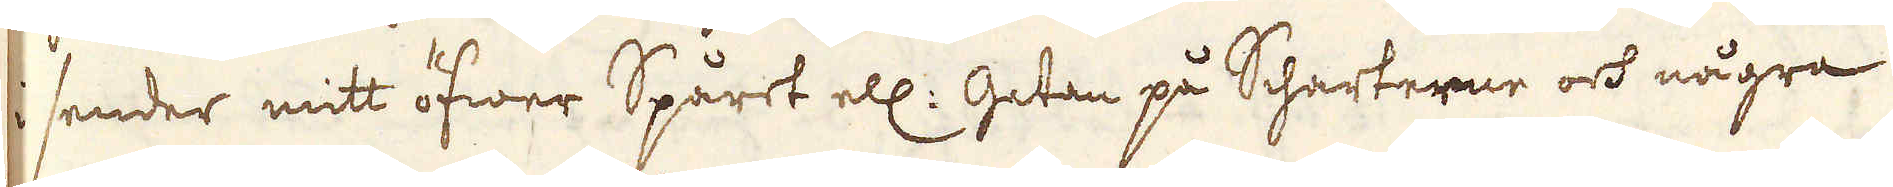i sender mitt öfwer Spåret ell: Gatan på Scharterne och några
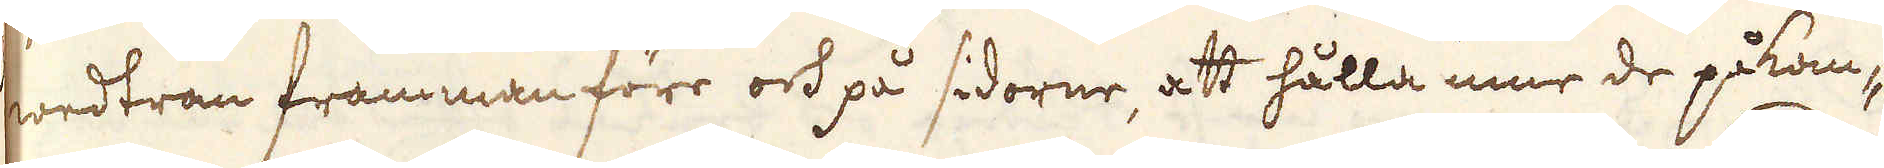wedträn frammanföre och på sidorne, att hålla inne de påkom-
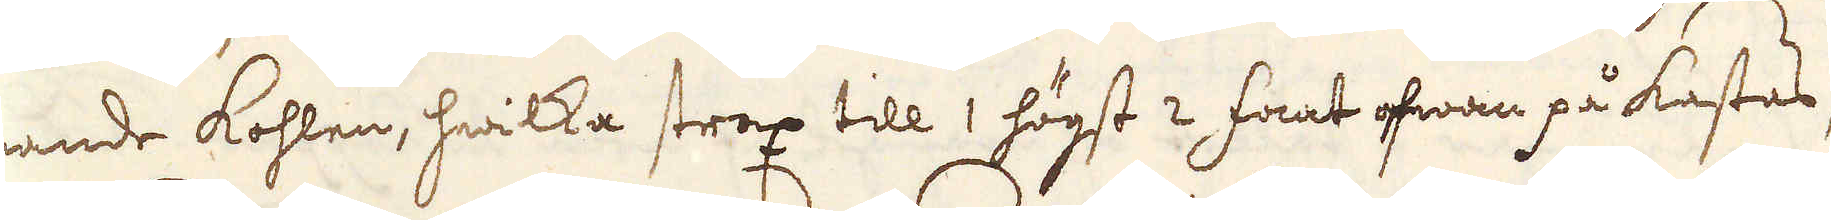mande kohlen, hwilka strax till 1 högst 2 fant ofwan på kastas
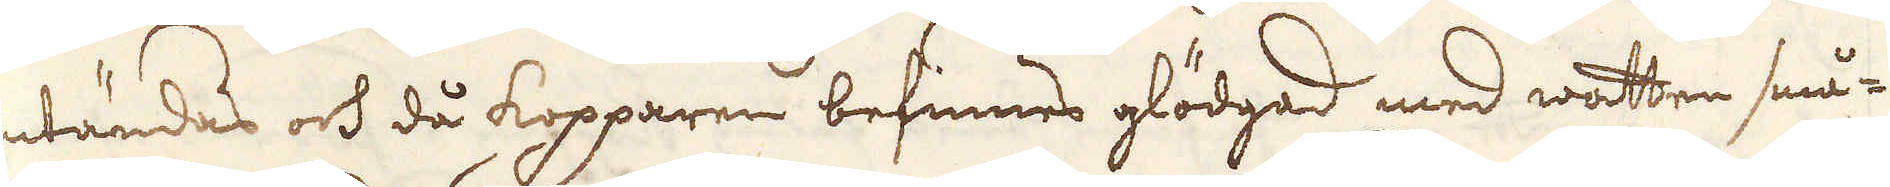antändas och då kopparen befinnes glödgad med watten små-
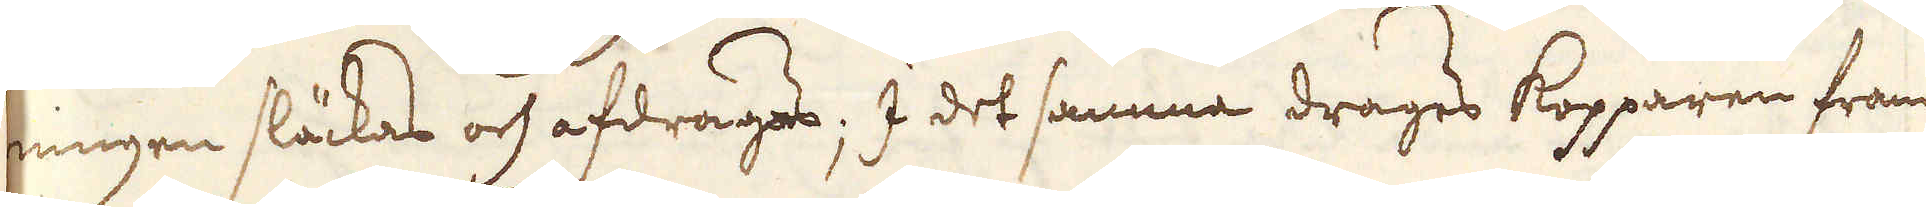ningen släckas och afdrages; I det samma drages Kopparen fram
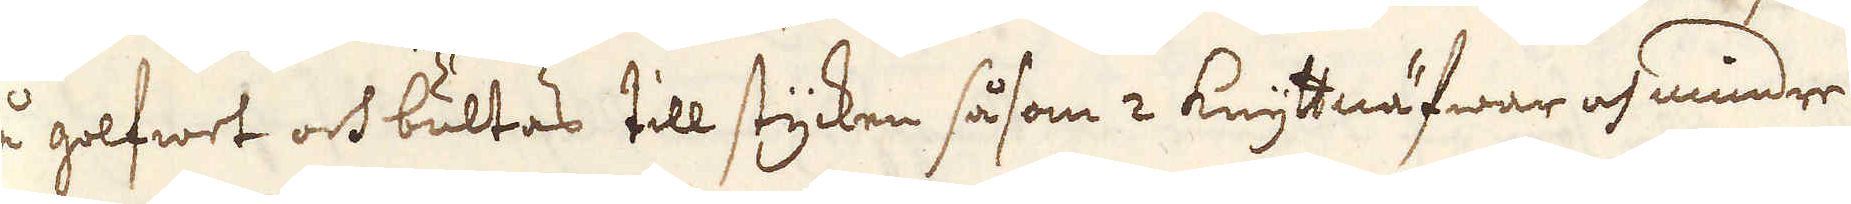på golfwet och bultas till stycken såsom 2 Knyttnäfwar af mindre
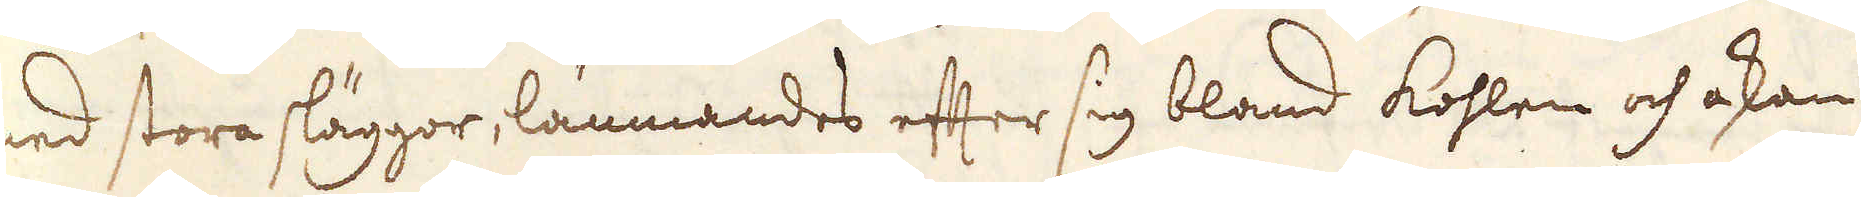med stora släggor, lämnandes efter sig bland kohlen och askan
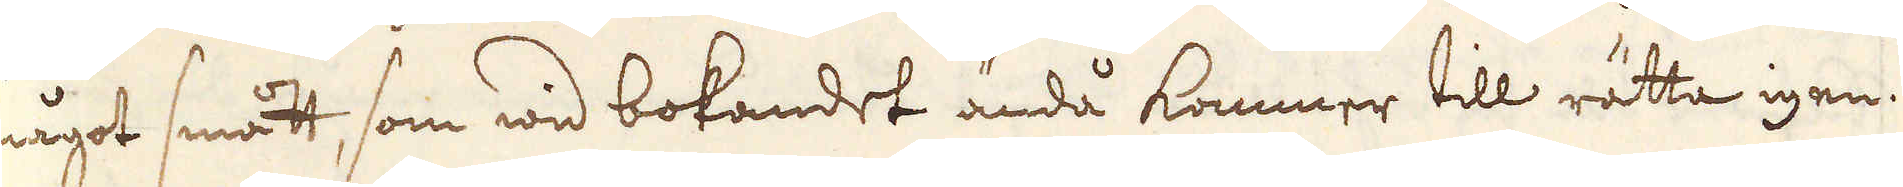något smått, som wid bokandet ändå kommer till rätta igen.
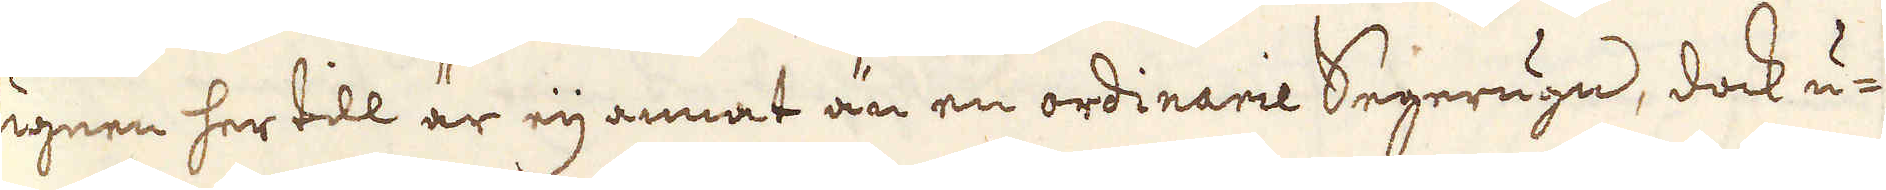Ugnen her till är eij annat än en ordinarie Segerugn, dock u-
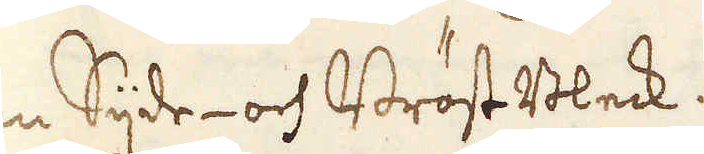tan Sijde- och BröstBleck.
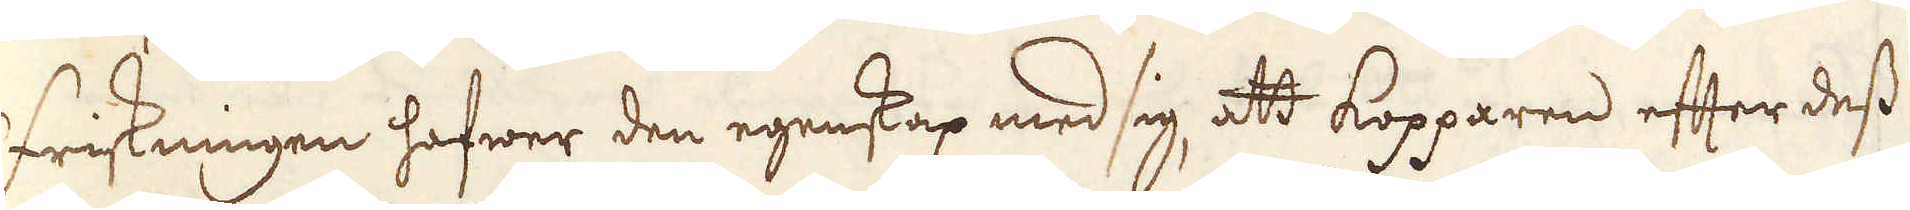Friskningen hafwer den egenskap med sig att kopparen efter dess
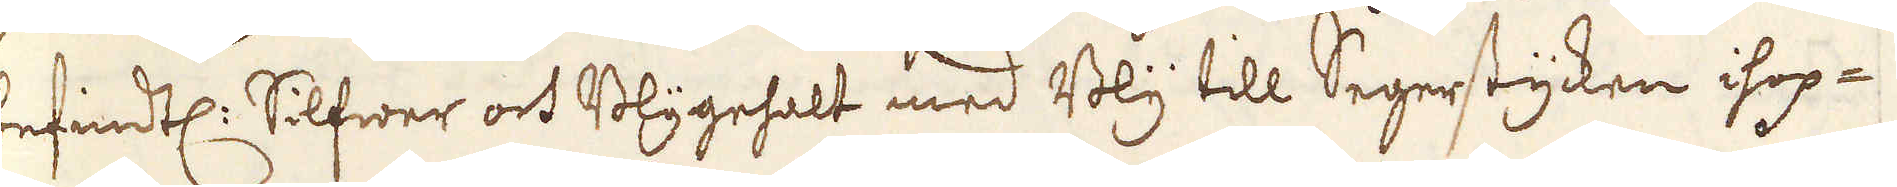befindtl: Silfwer och Blygehalt med Bly till Segerstycken ihop-
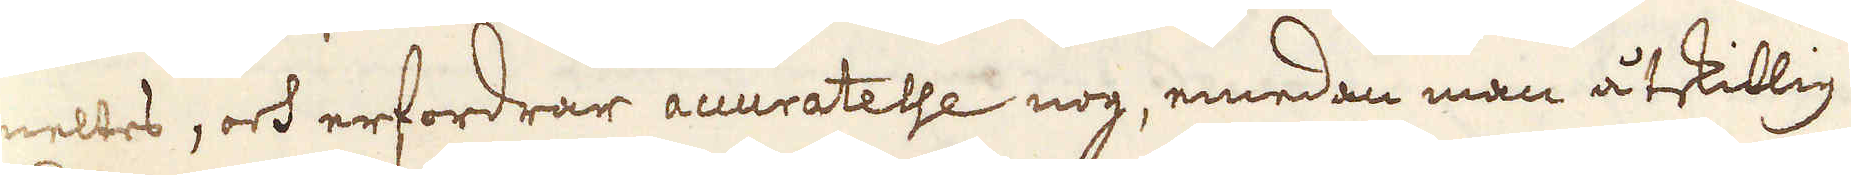smeltes, och erfordrar acuratelse nog, emedan man åtskillig
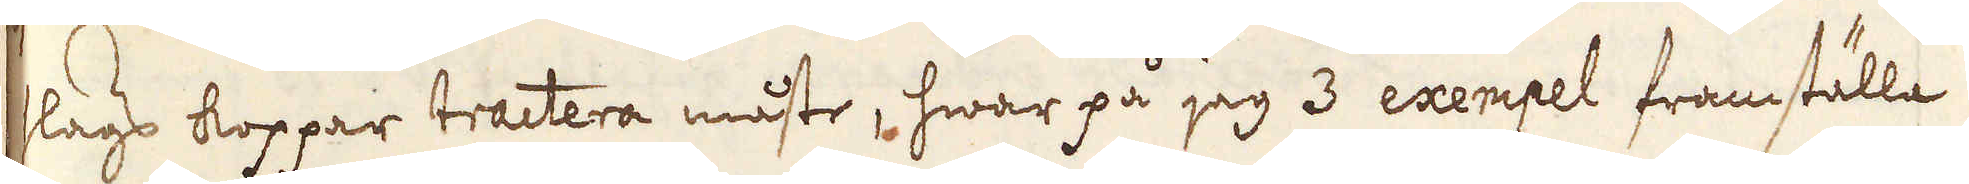slags koppar tractera måste, hwar på jag 3 exempet framställa
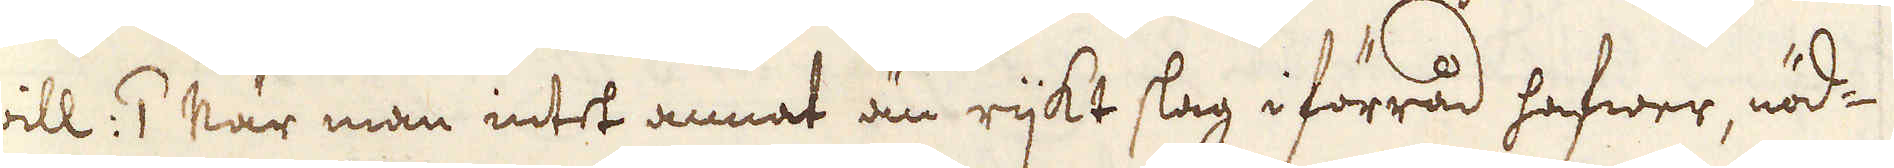will: 1 När man intet annat än rijkt slag i förråd hafwer, nöd-
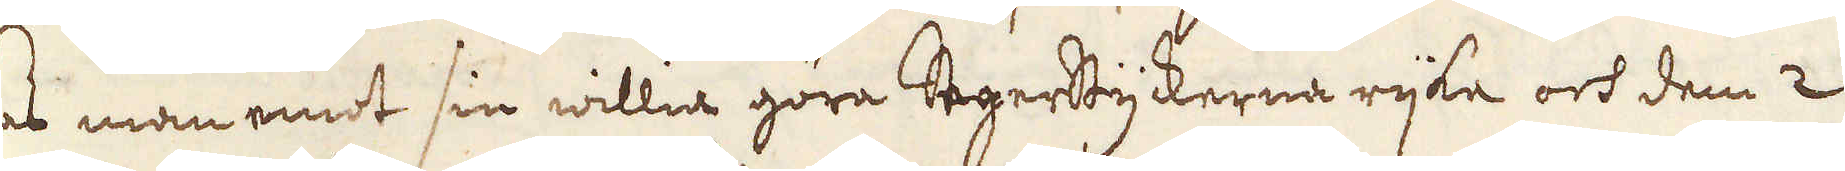gas man emot sin willia göra Segerstyckerna rijke och dem 2
